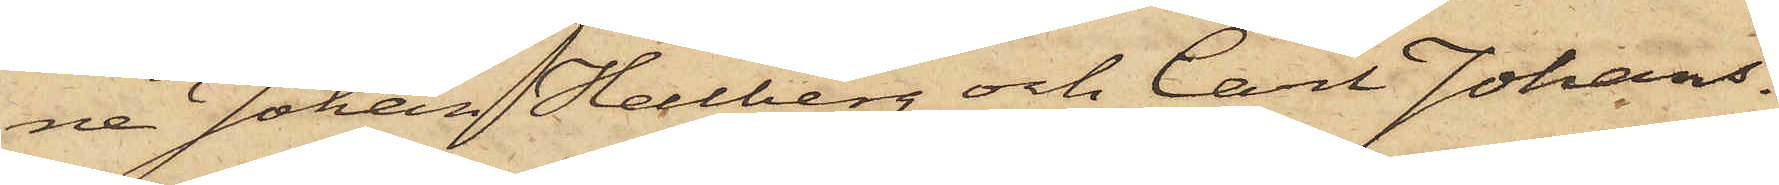ne Johan Hellberg och Carl Johans¬
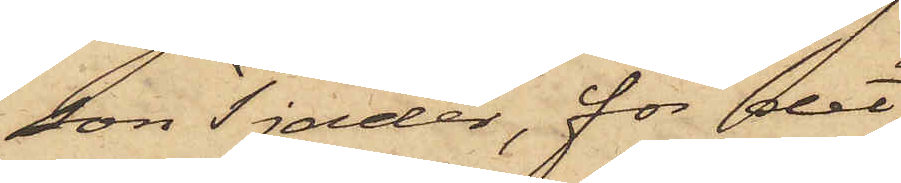son Tjäder, för det
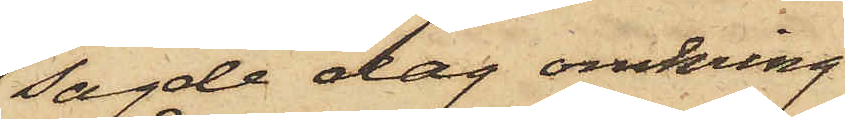sagde dag omkring
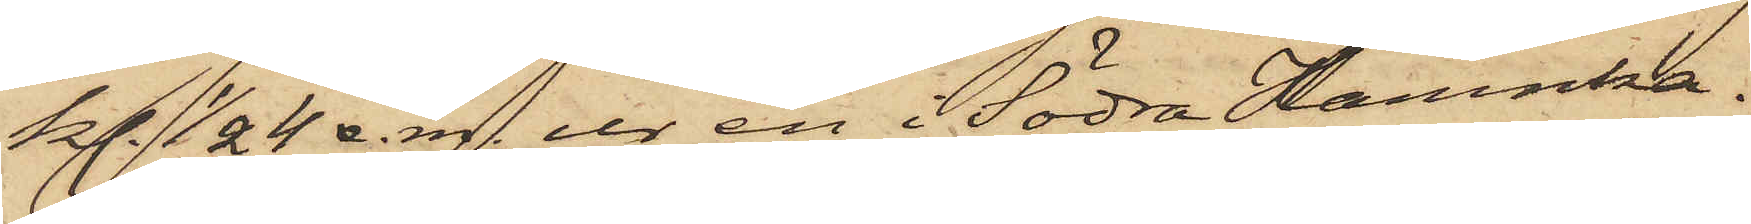kl. 1/2 4 e.m. ur en i Södra Hamnka¬
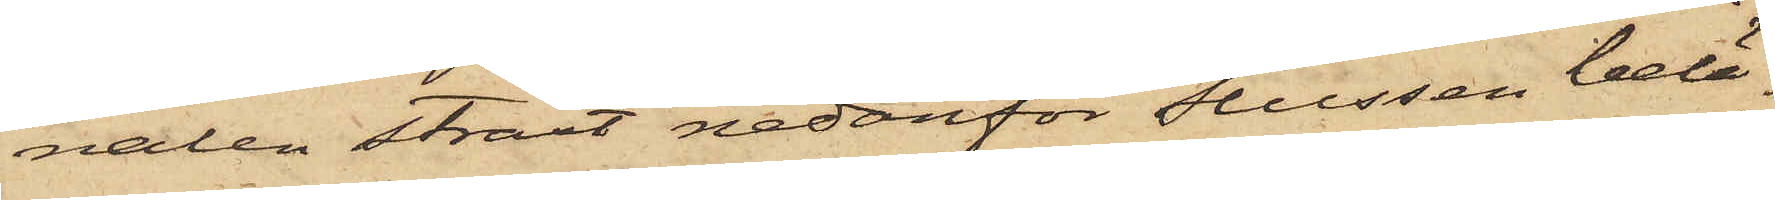nalen straxt nedanför Slussen belä¬
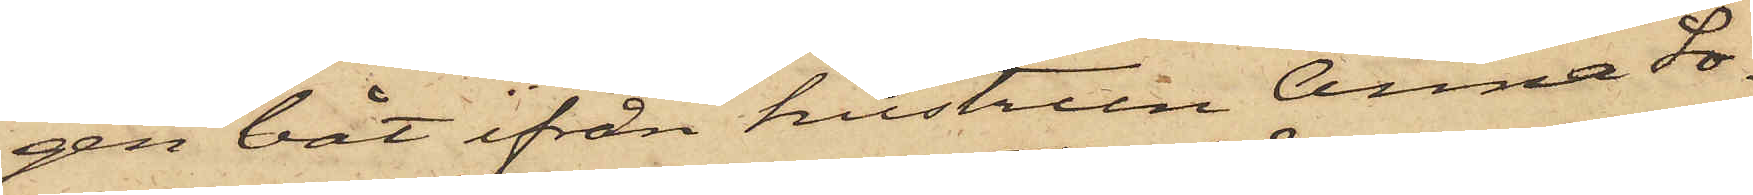gen båt ifrån hustrun Anna So¬
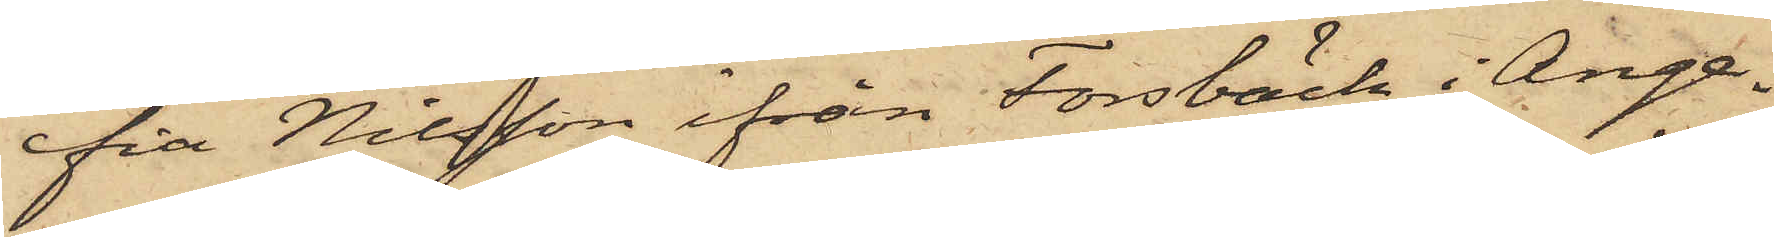fia Nilsson ifrån Forsbäck i Ange¬
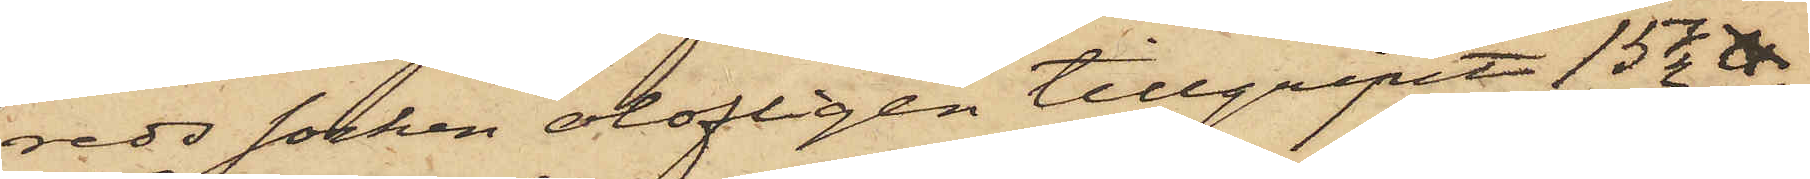reds socken olofligen tillgripit 15 1/2 ℔
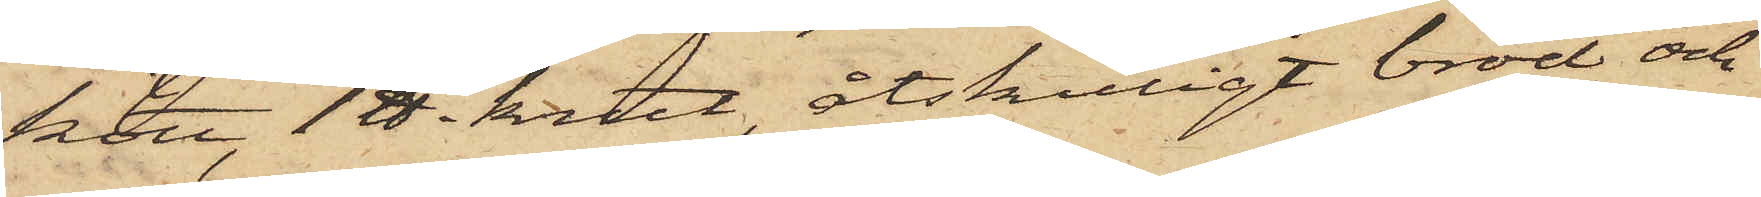kött, 1 ℔ krut, åtskilligt bröd och
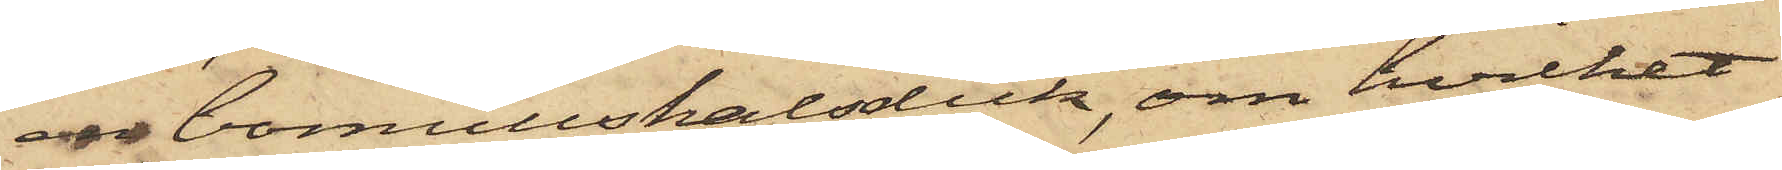en bomullshalsduk, om hvilket
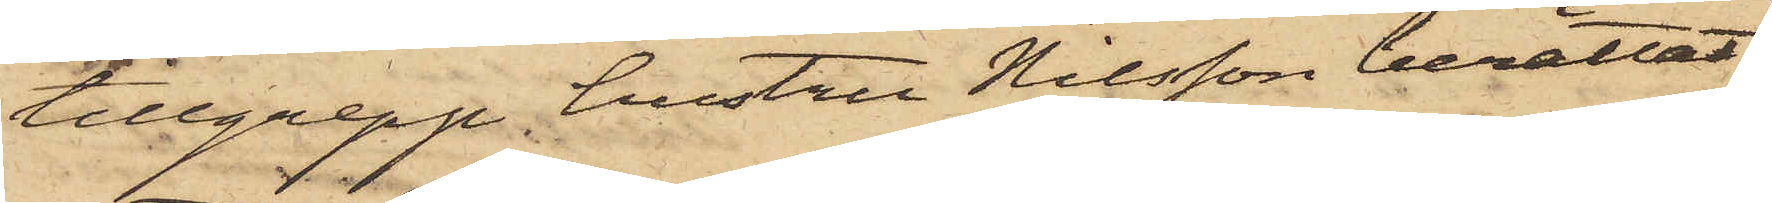tillgrepp hustru Nilsson berättat,
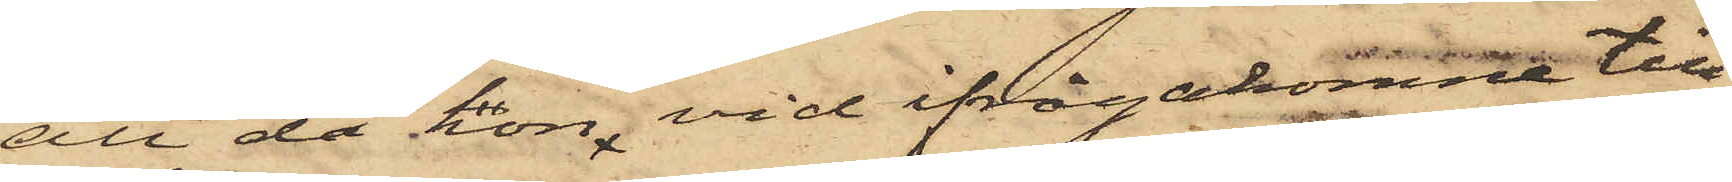att då hon, vid ifrågakomne till¬
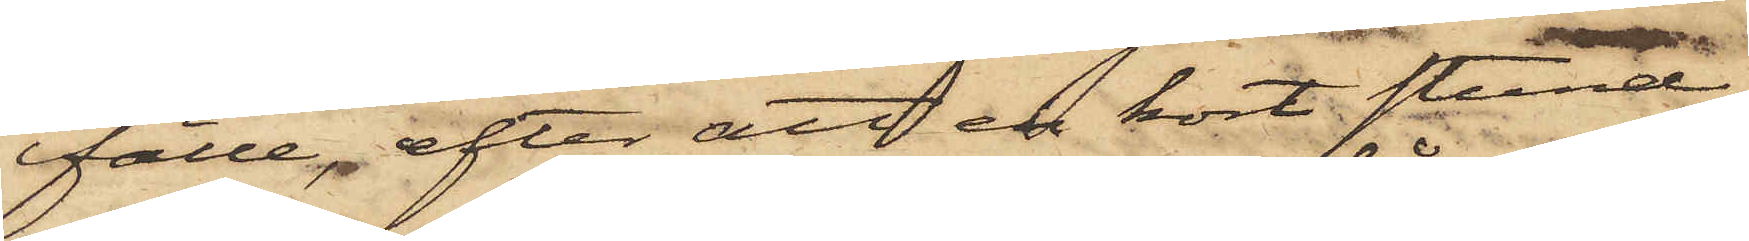fälle, efter att en kort stund
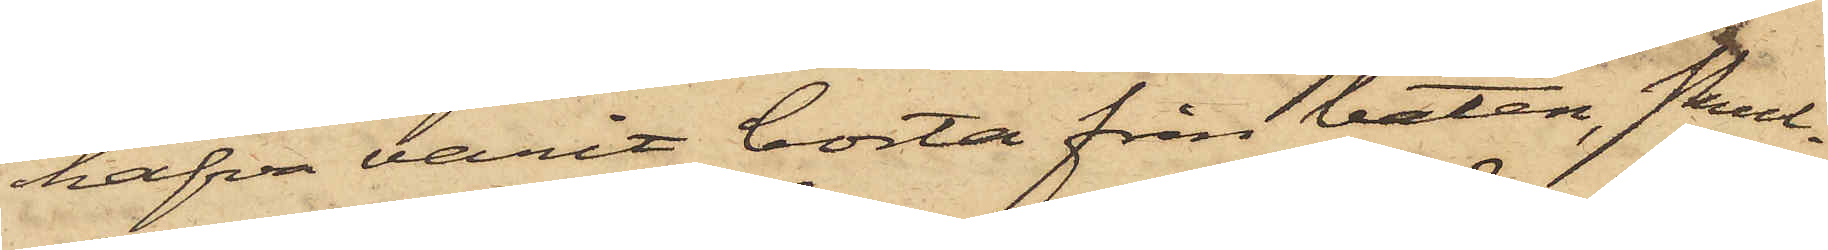hafva varit borta från båten, skul¬
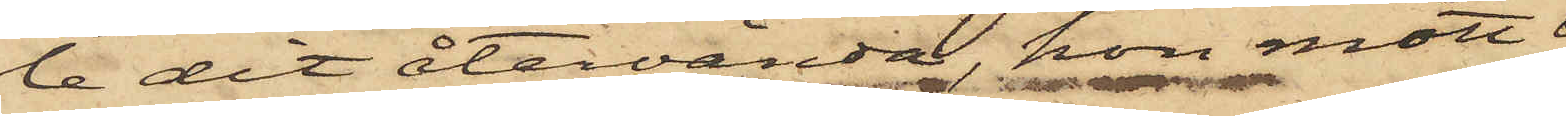le dit återvända, hon mött 
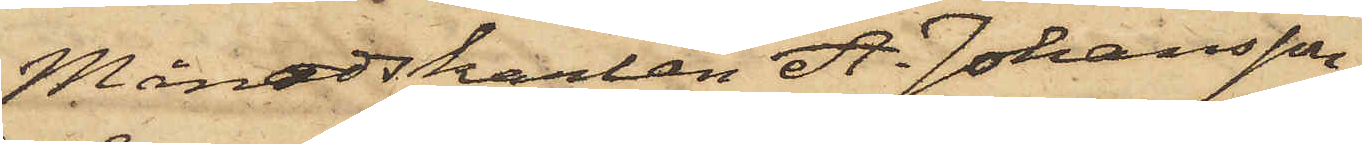Månadskarlen A. Johansson,
